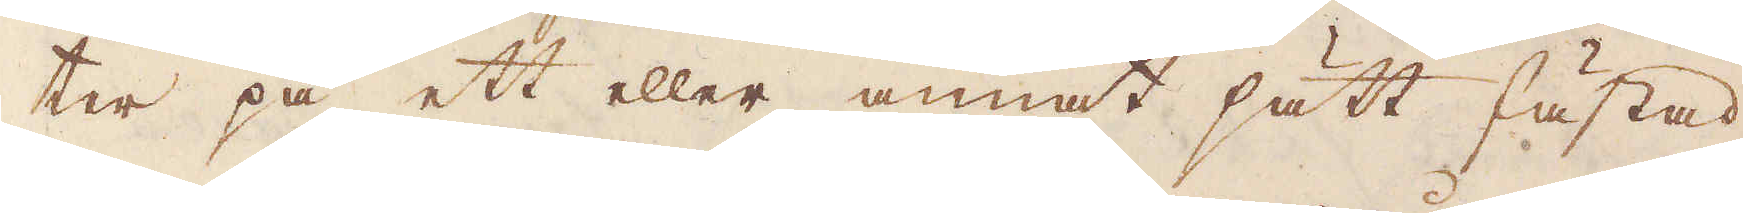ter på ett eller annat sätt fästad
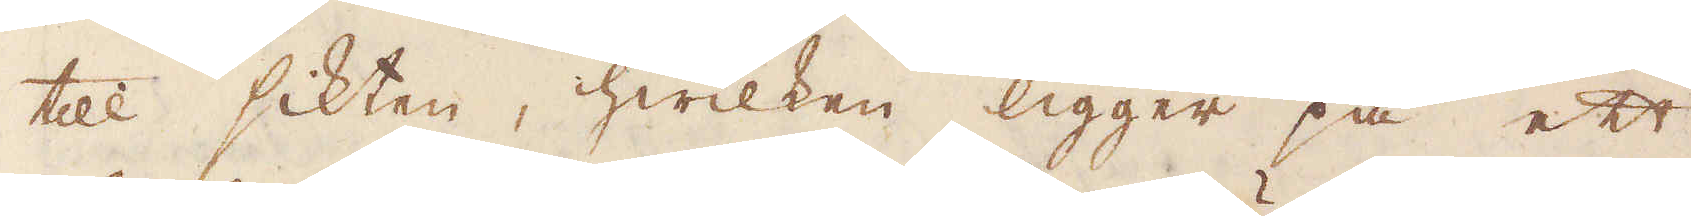till sikten, hwilken ligger på ett
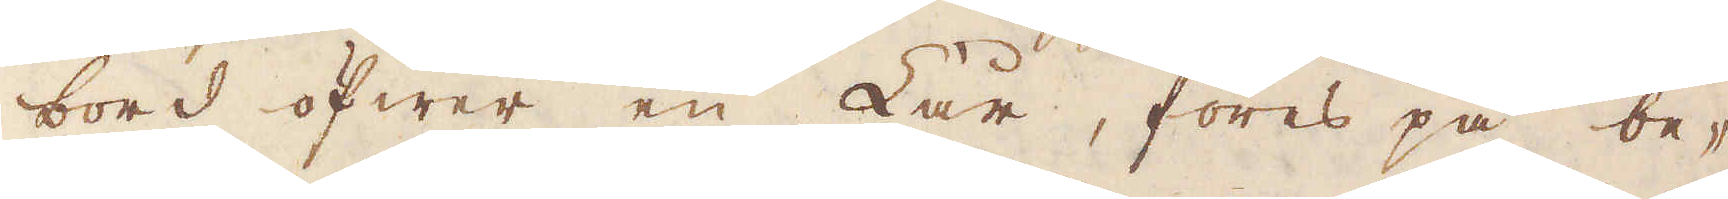bord öfwer en Lår, föres på be-
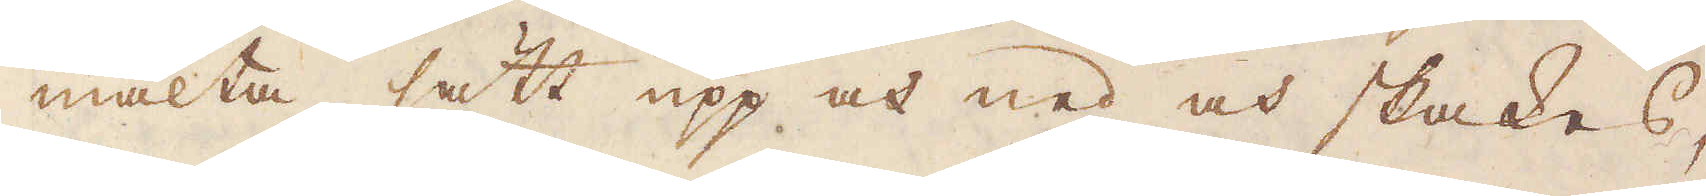mälta sätt upp och ned och skakes,
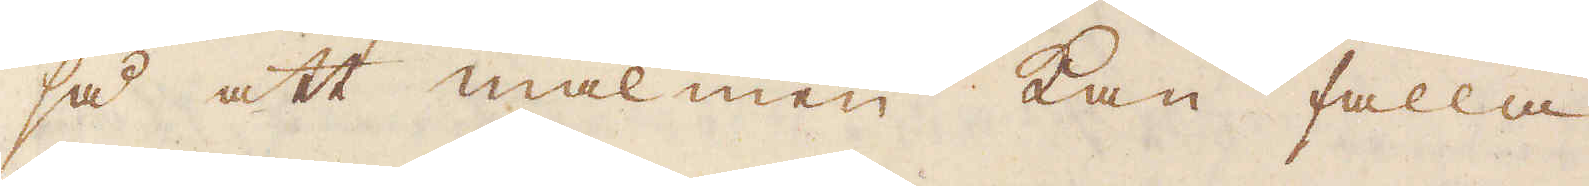så att malmen kan falla
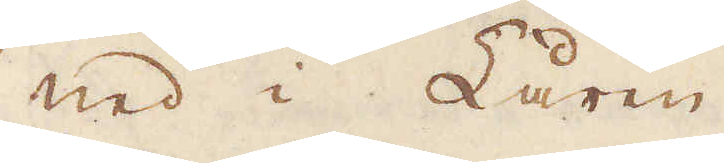ned i Låren.
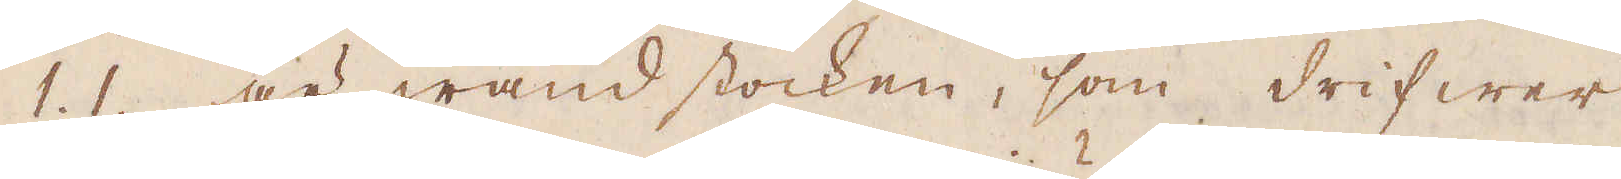1. 1. är wändstocken, som drifwer
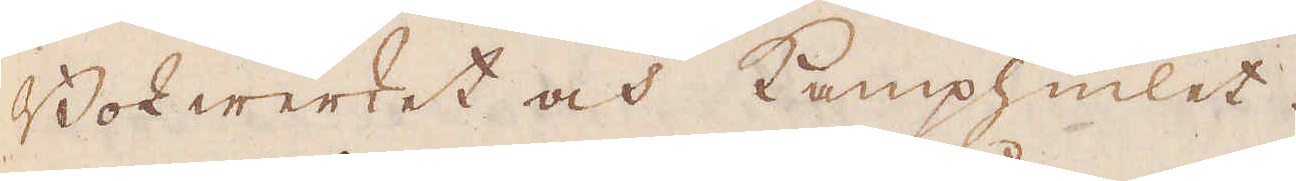Bok werket och Kamphiulet.
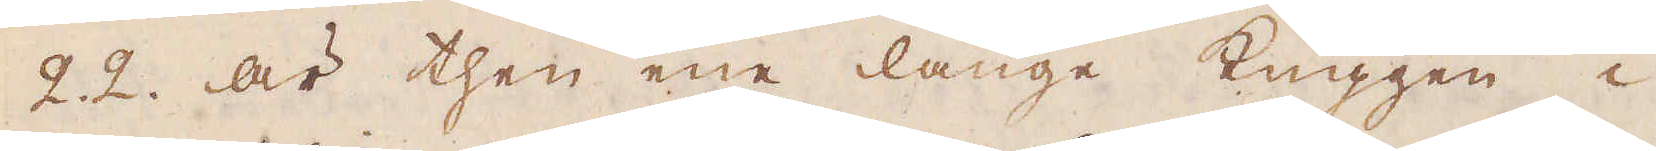2.2. är then ene långe kuggen i
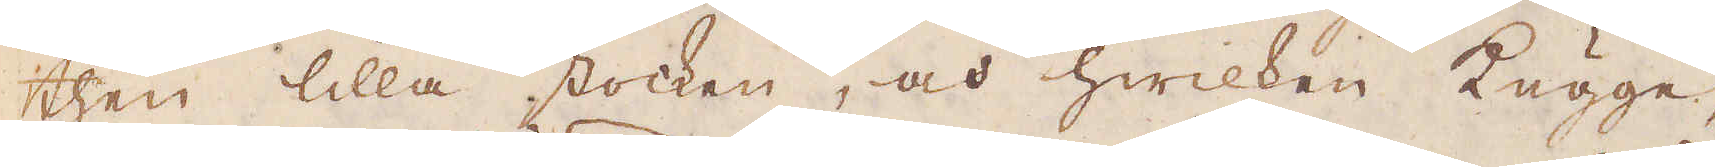then lilla stocken, och hwilken kugge,
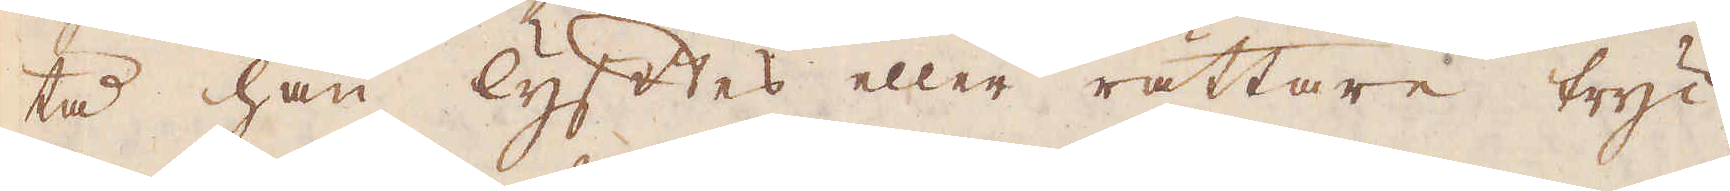tå han lyftes eller rättare tryc-
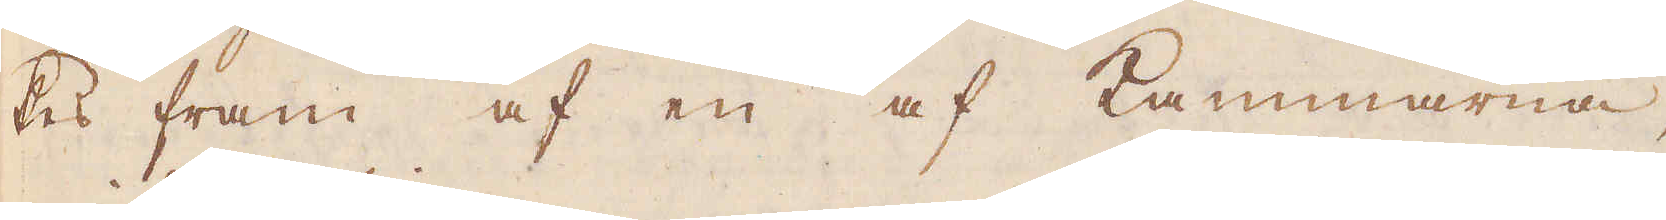kes fram af en af Kammarna,
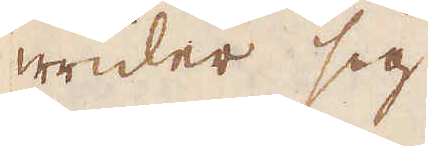wrider sig
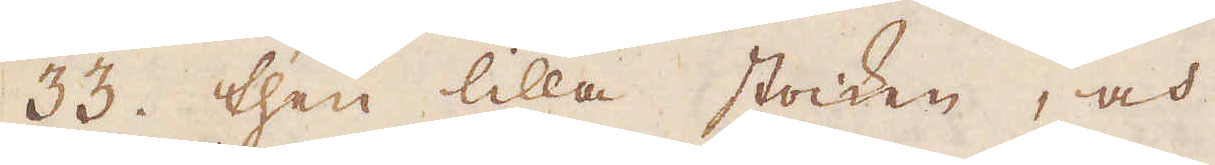33. then lilla stocken, och
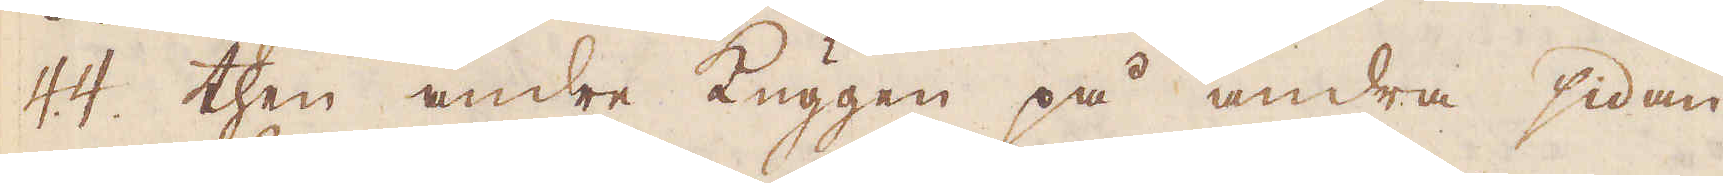44. then andre Kuggen på andra sidan
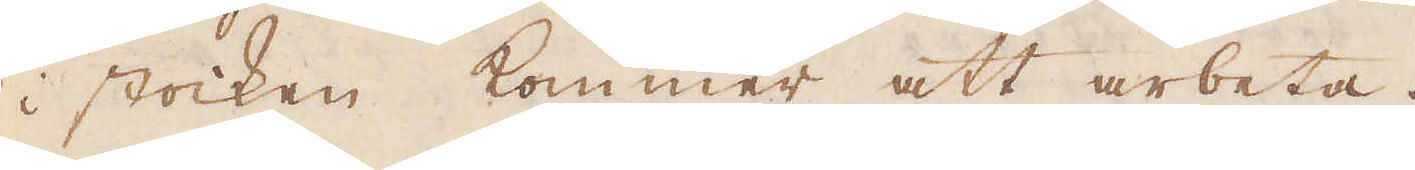i stocken kommer att arbeta.
